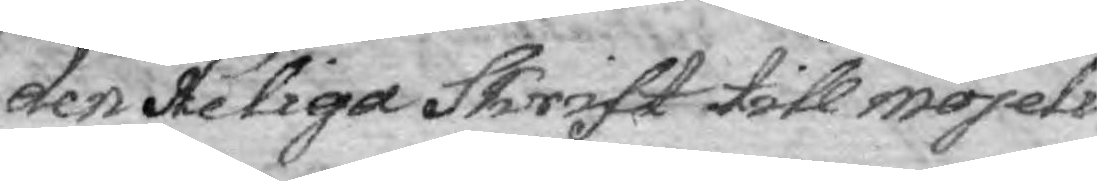den Heliga Skrift till möjeli¬
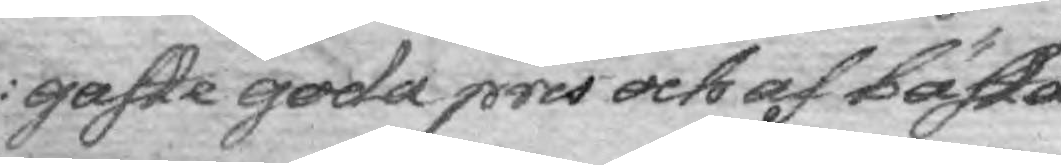gaste goda pris och af bästa
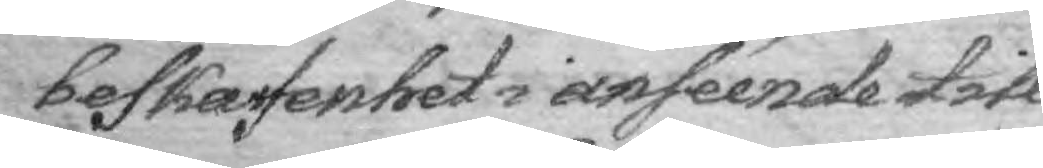beskafenhet i anséende till
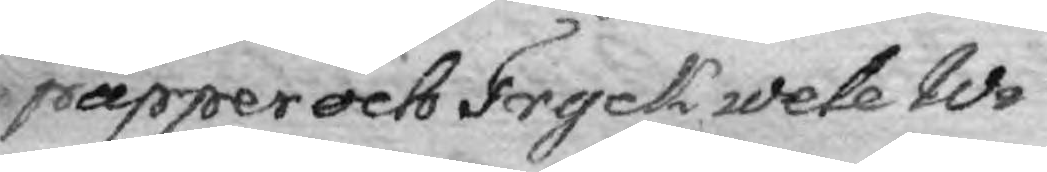papper och Tryck wele Wi
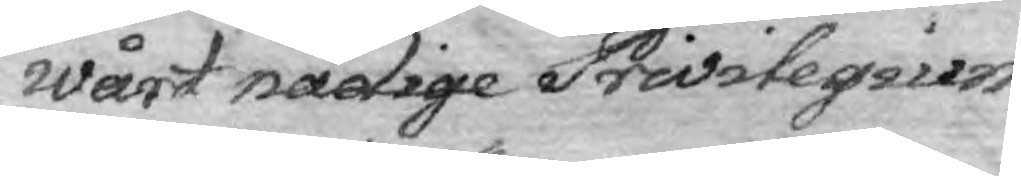Wårt nådige Privilegium
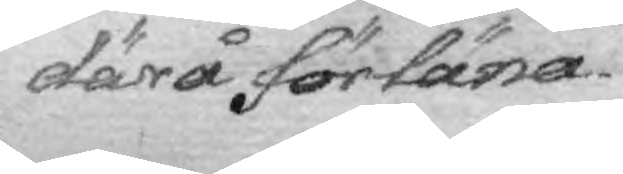därå förläna.
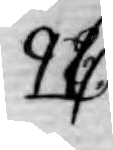28.
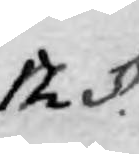12 §.
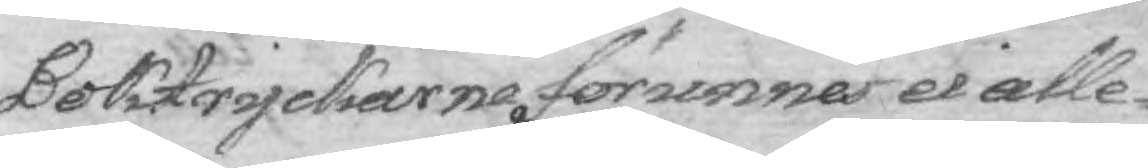Boktryckarne förunnes ei alle¬
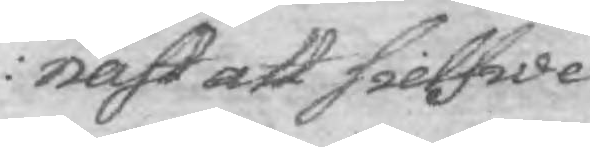nast att sielfwe
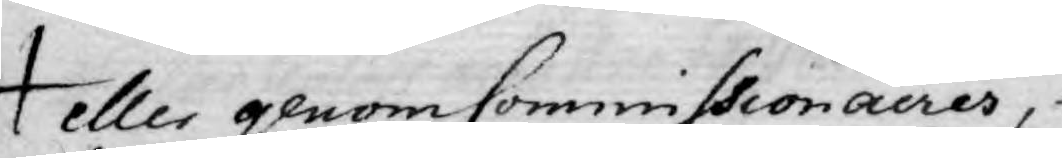eller genom Commissionairer,
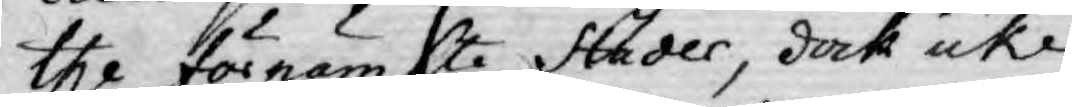the förnämste Städer, dock icke
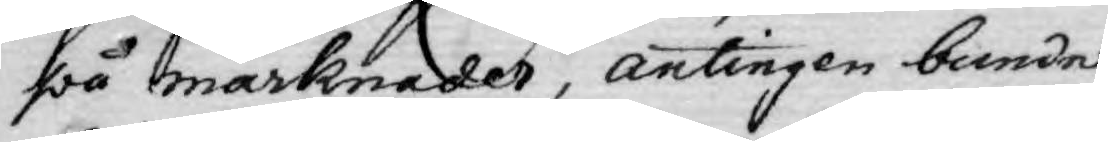på marknader, antingen bundne
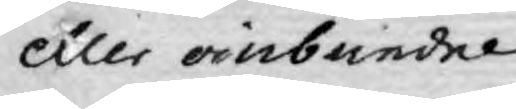eller oinbundne
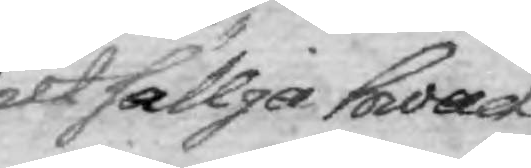utsällja hwad
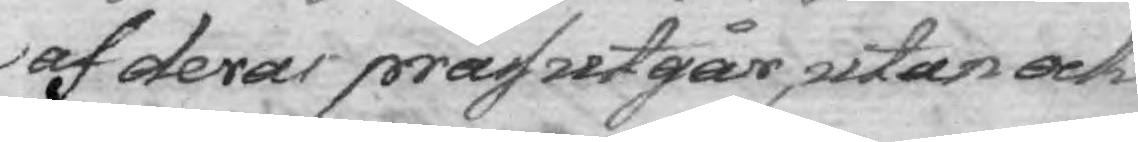af deras präss utgår, utan ock
